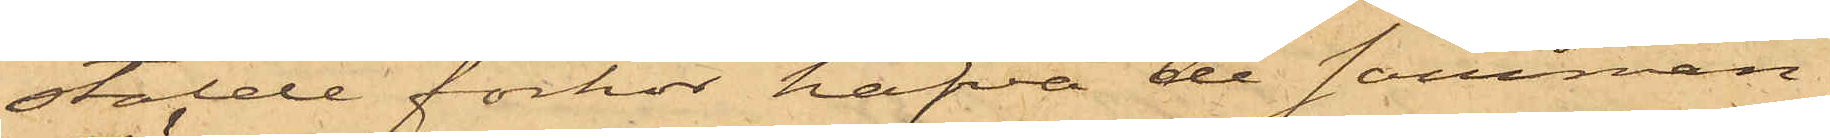stälde förhör hafva de samman¬
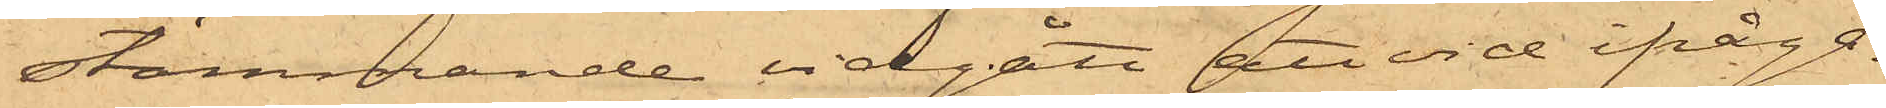stämmande vidgått att vid ifråga¬
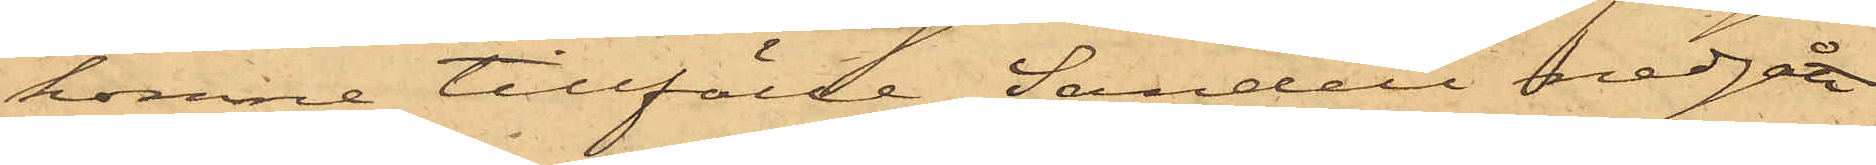komne tillfälle Sandell nedgått
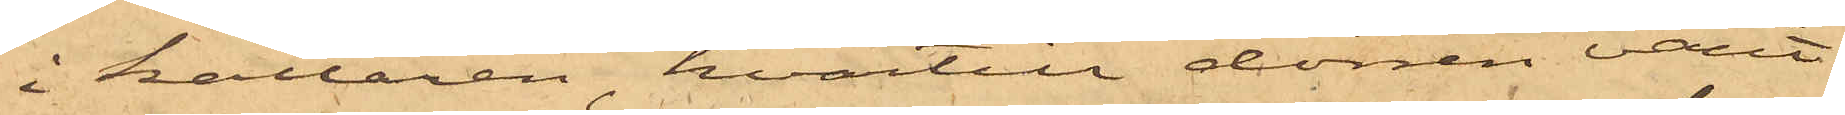i källaren, hvartill dörren varit
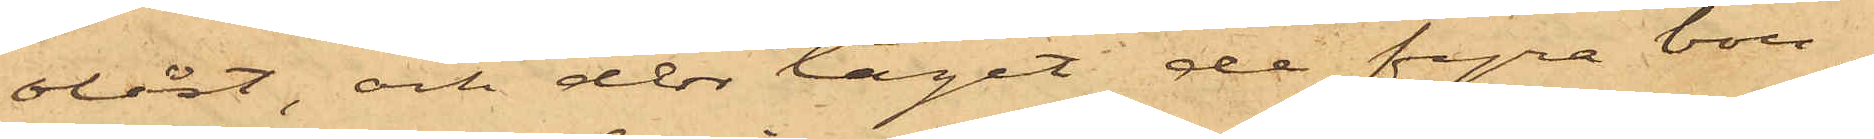olåst, och der tagit de fyra bou¬
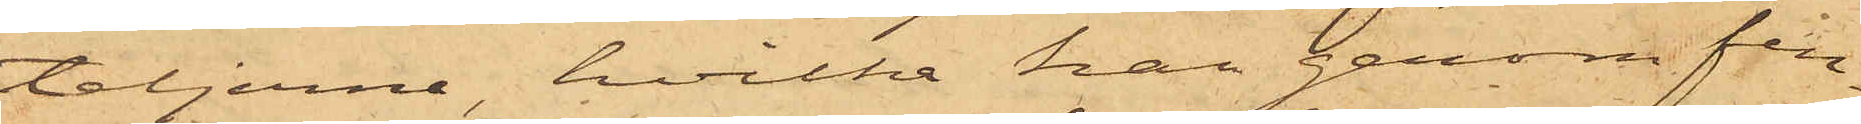teljerne, hvilka han genom fen¬
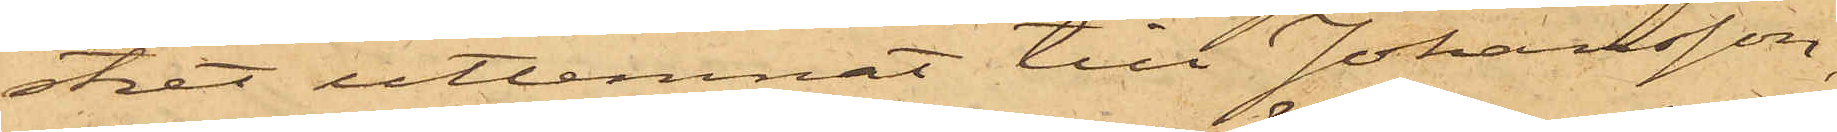stret utlemnat till Johansson,
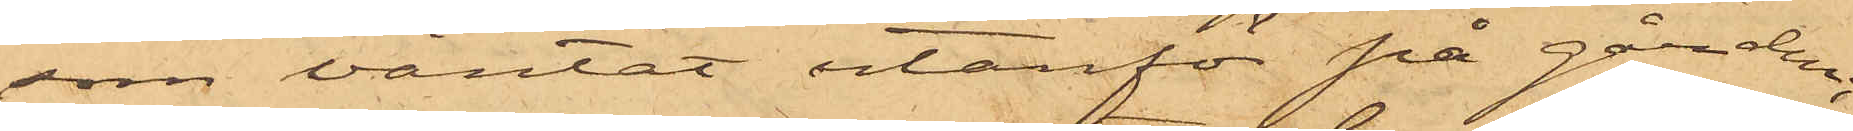som väntat utanför på gården;
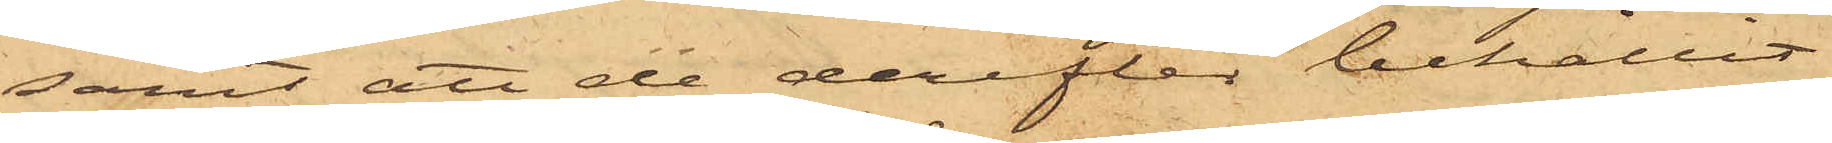samt att de derefter behållit
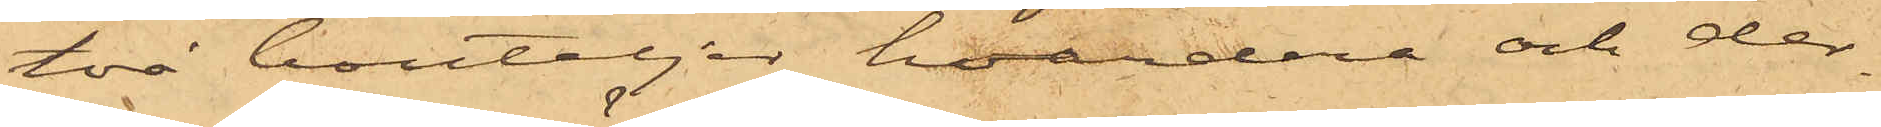två bouteljer hvardera och der¬
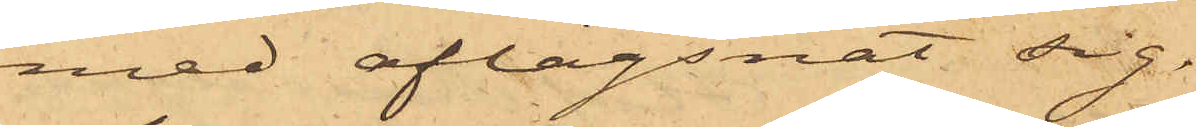med aflägsnat sig.
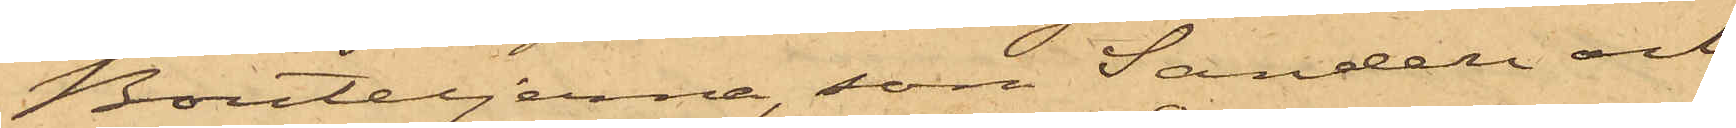Bouteljerne, som Sandell och
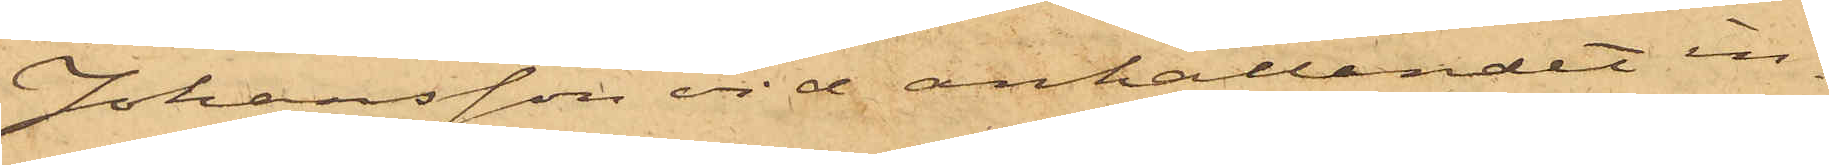Johansson vid anhållandet in¬
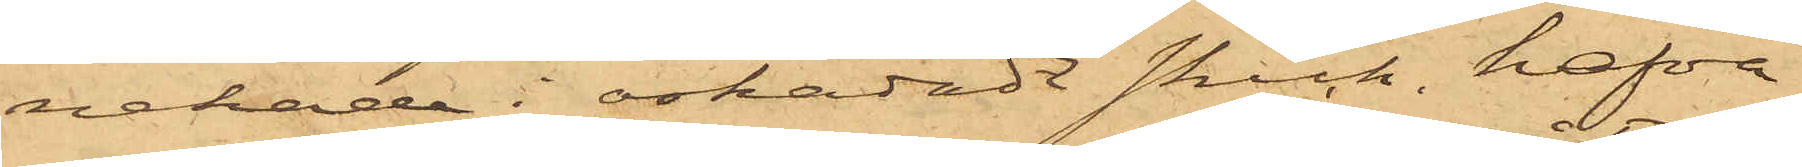nehade i oskadadt skick, hafva
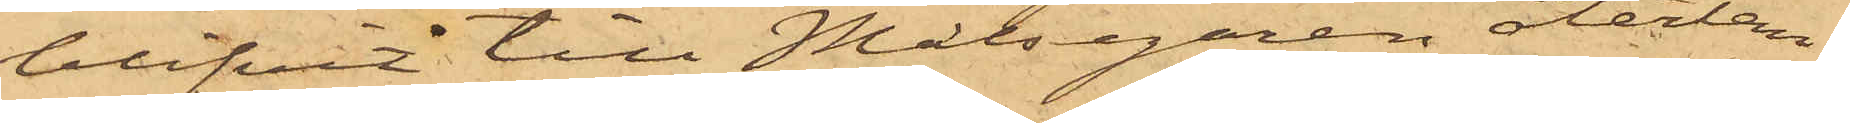blifvit till Målsegaren återläm¬
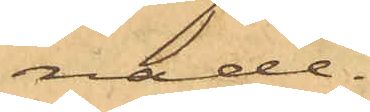nade.
